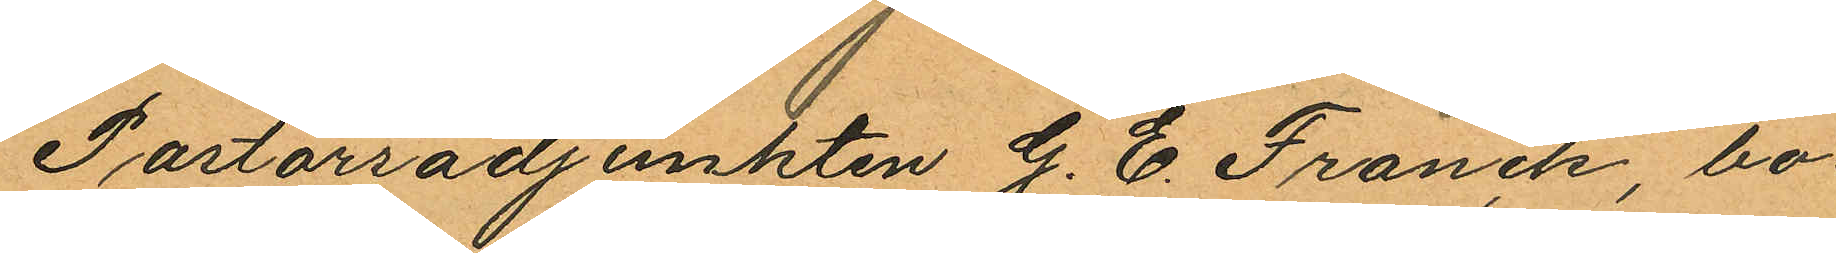Pastorsadjunkten G. E. Franck, bo¬
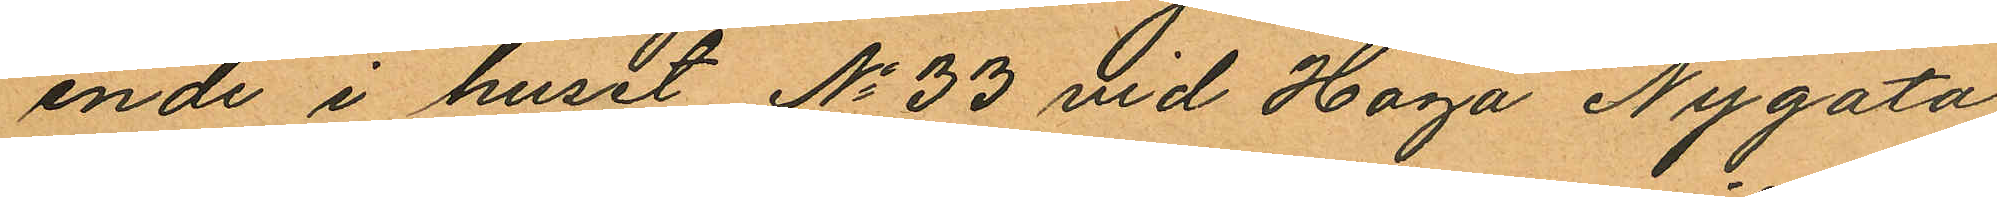ende i huset No 33 vid Haga Nygata
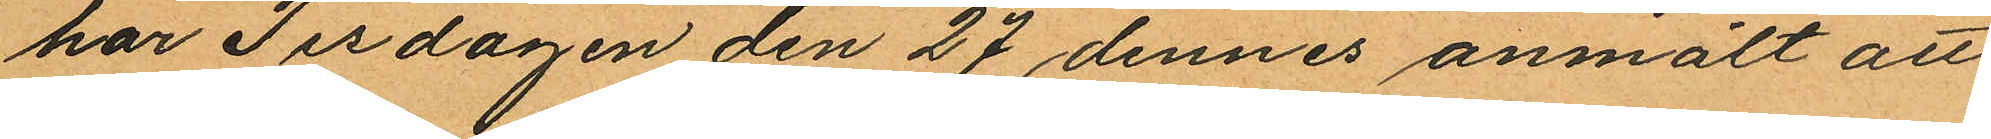har Tisdagen den 27 dennes anmält att
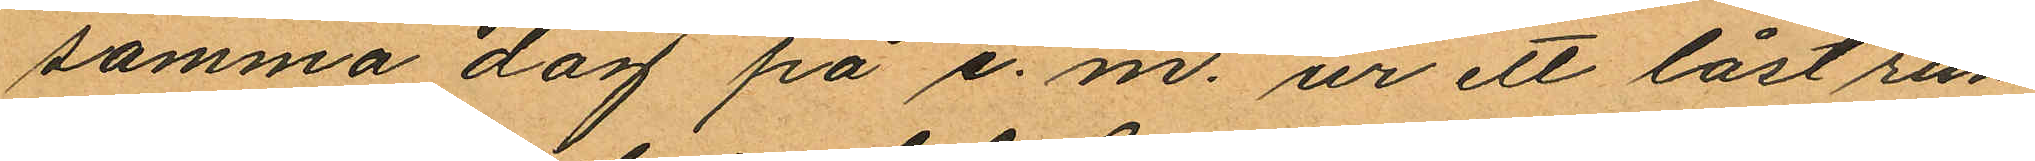samma dag på e. m. ur ett låst rum
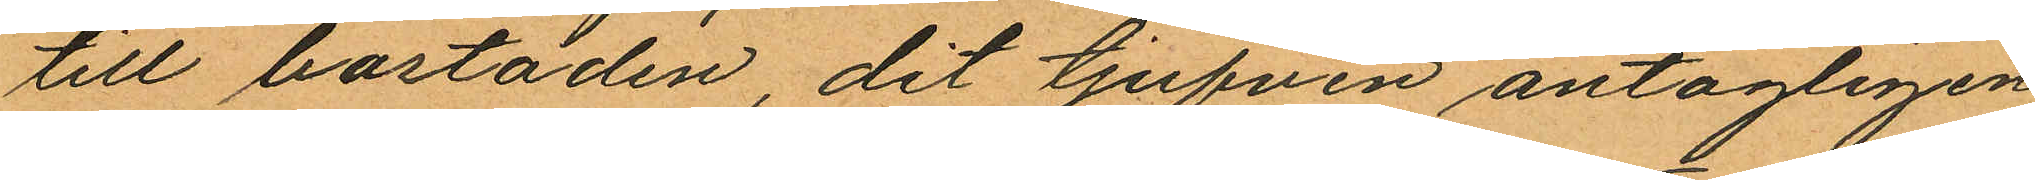till bostaden, dit tjufven antagligen
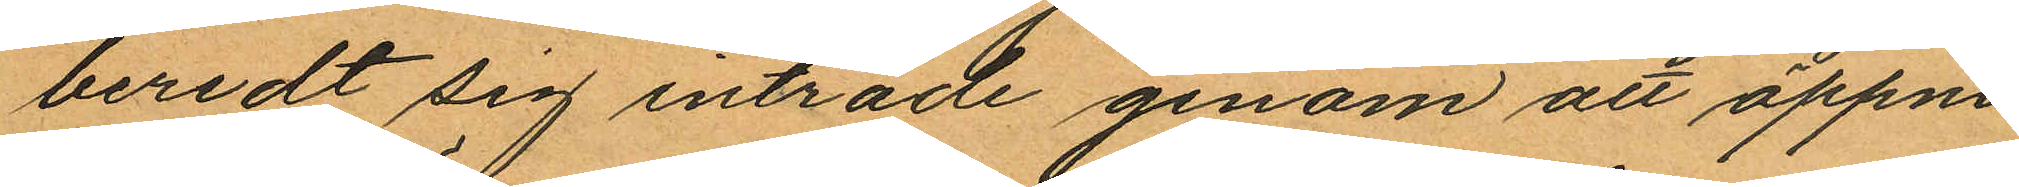beredt sig inträde genom att öppna
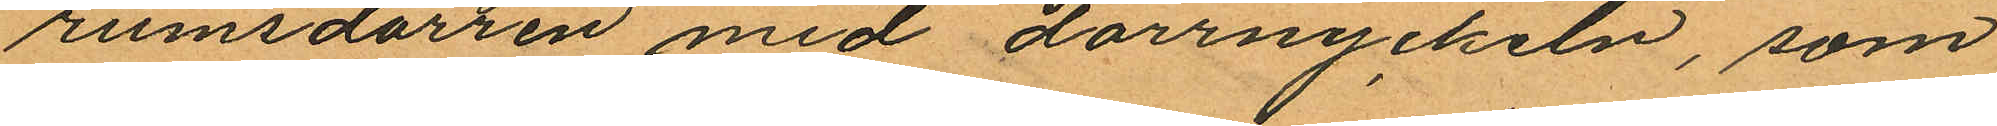rumsdörren med dörrnyckeln, som
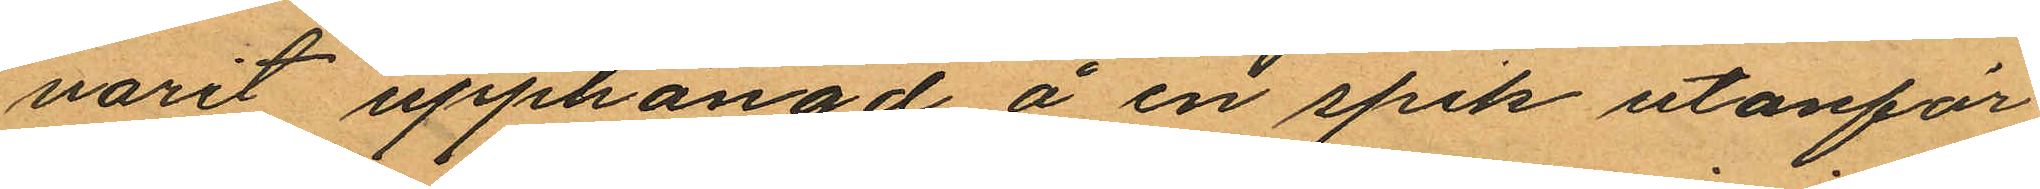varit upphängd å en spik utanför
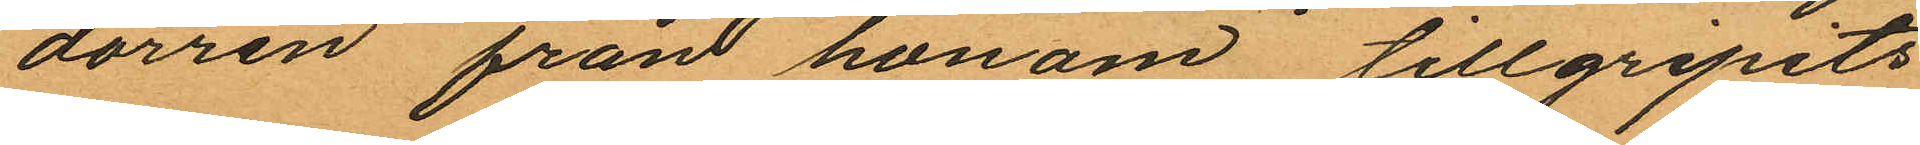dörren från honom tillgripits
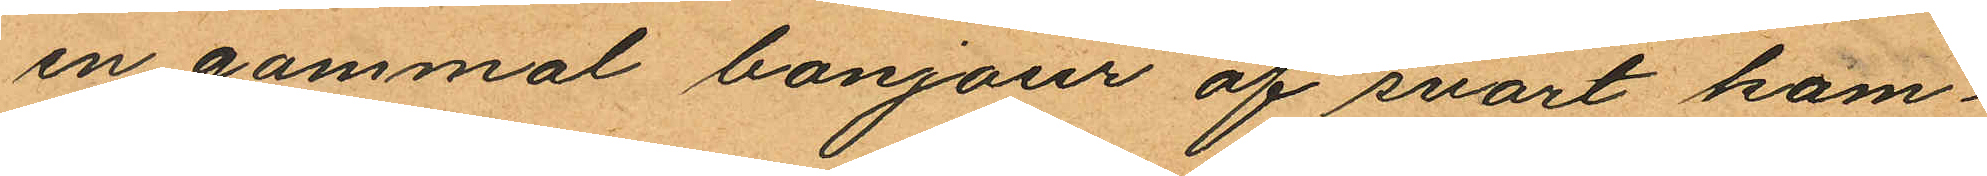en gammal bonjour af svart kam¬
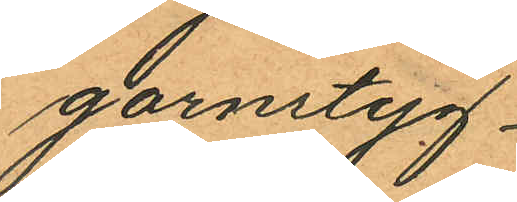garnstyg
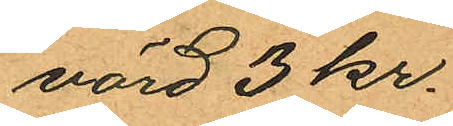värd 3 kr.
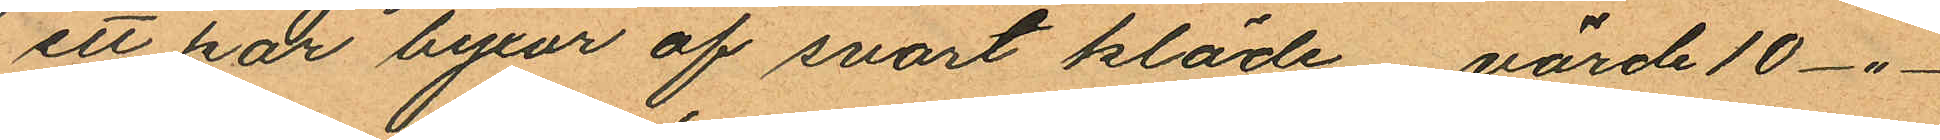ett par byxor af svart kläde värde 10 -"-
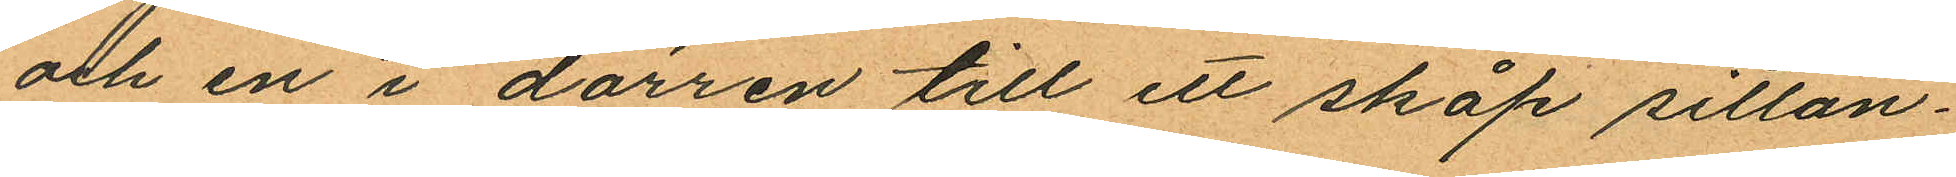och en i dörren till ett skåp sittan¬
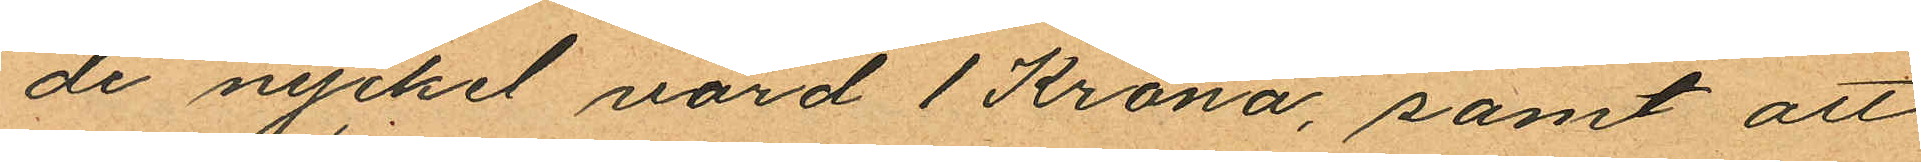de nyckel värd 1 Krona, samt att
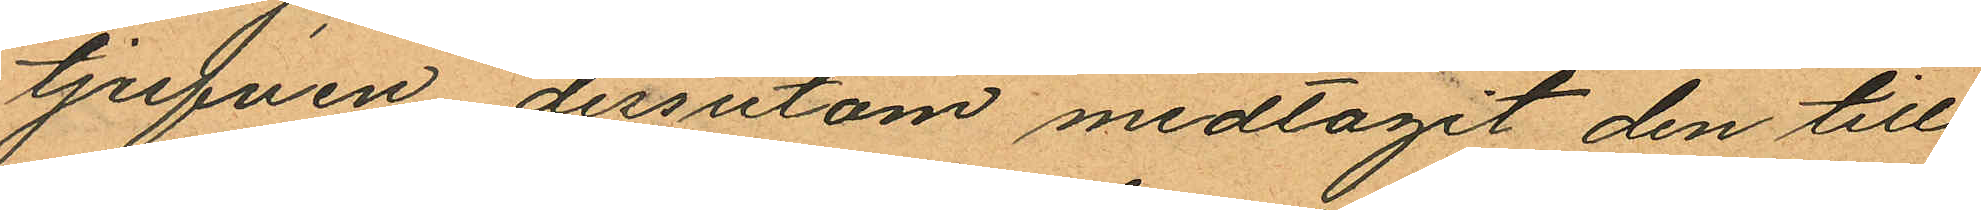tjufven dessutom medtagit den till
